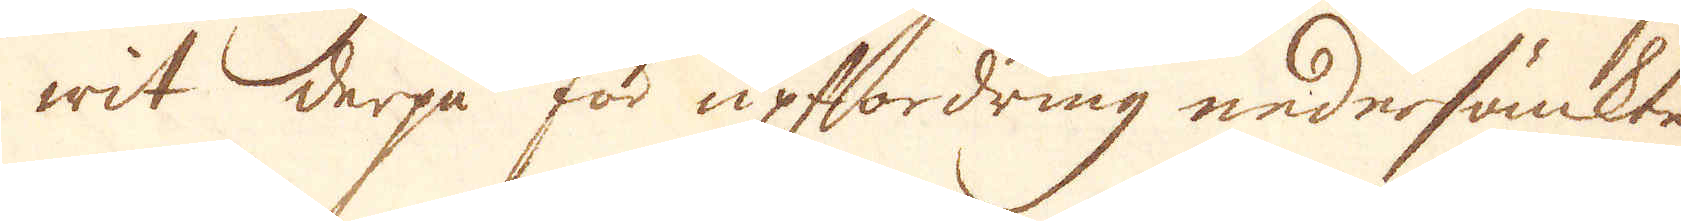wit derpå för upfordring nedersänkte
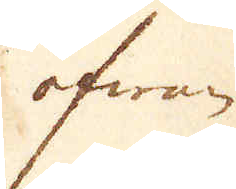ofwan
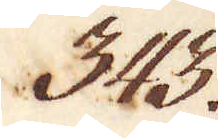943.
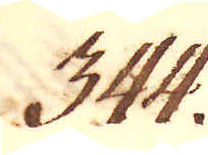344.
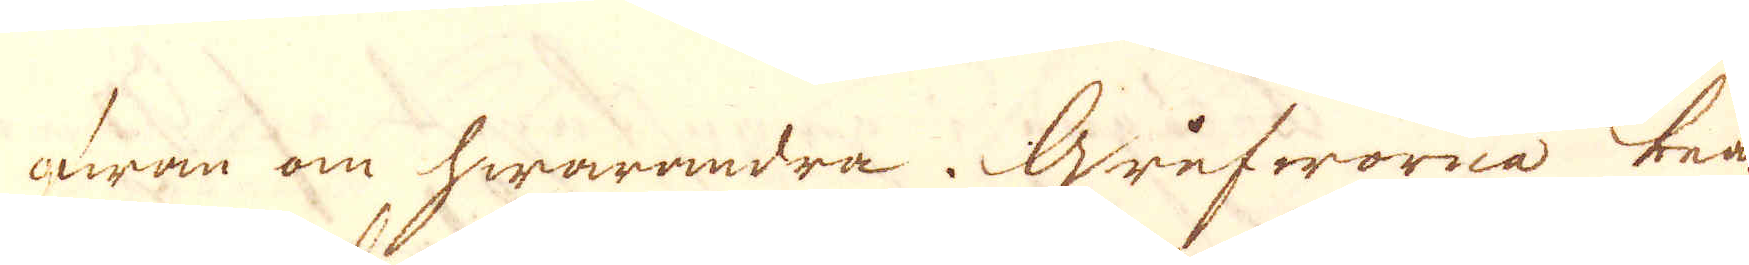fram om hwarandra. Grufworna bear-
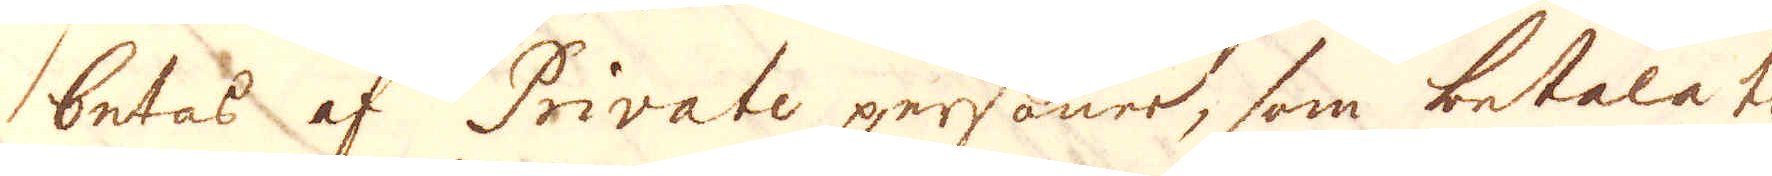betas af Private personer, som betalat
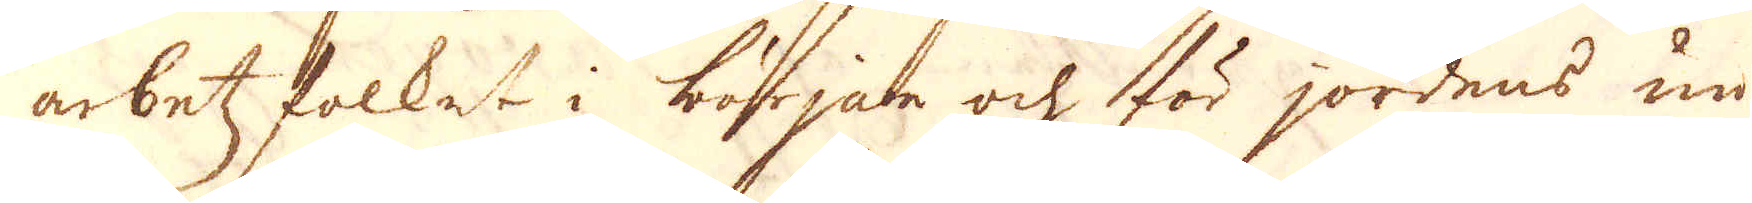arbetzfolket i början och för jordens un-
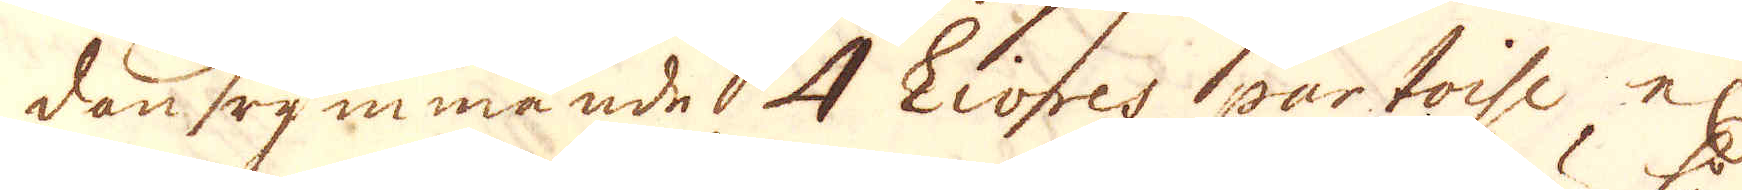dan rymmande 4 Livres partoise el:r
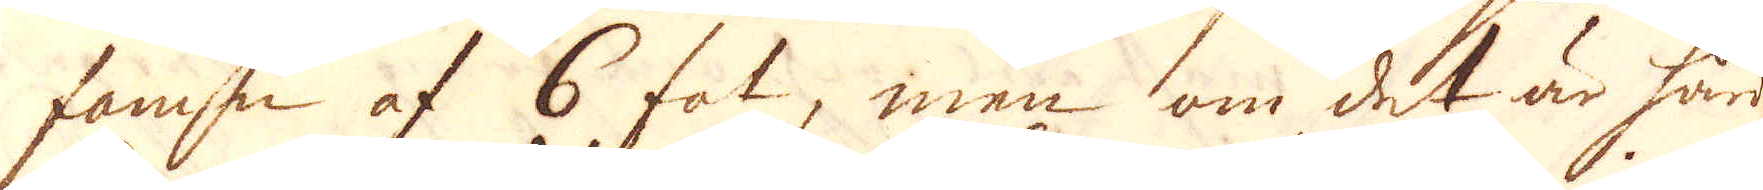famn af 6 fot, men om det är hård
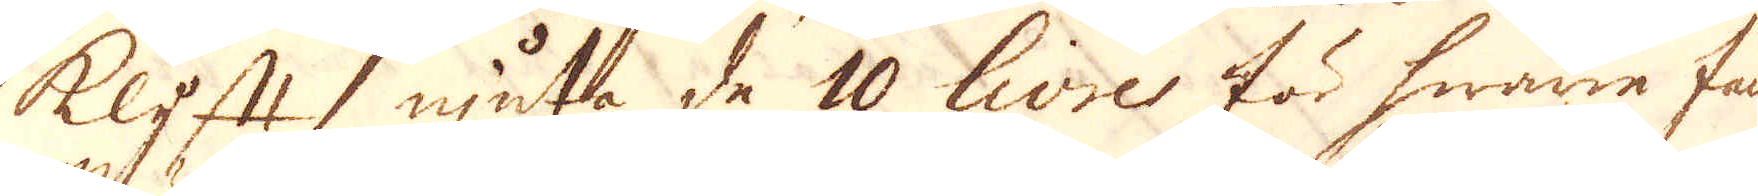klyft njuta de 10 livre för hwarie famn.
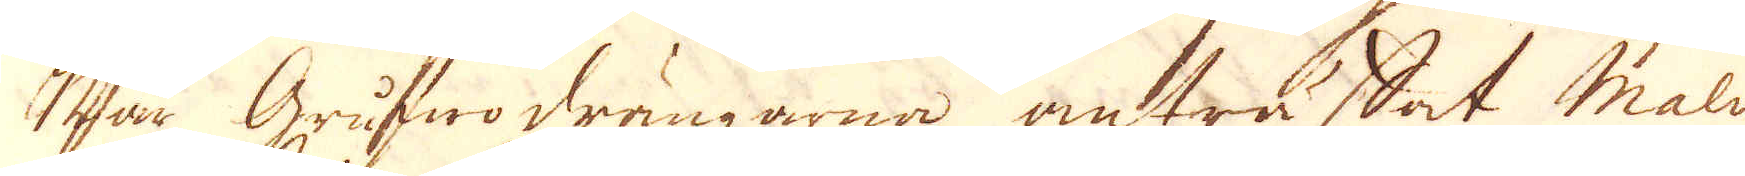När Grufwo drängarna anträffat malm
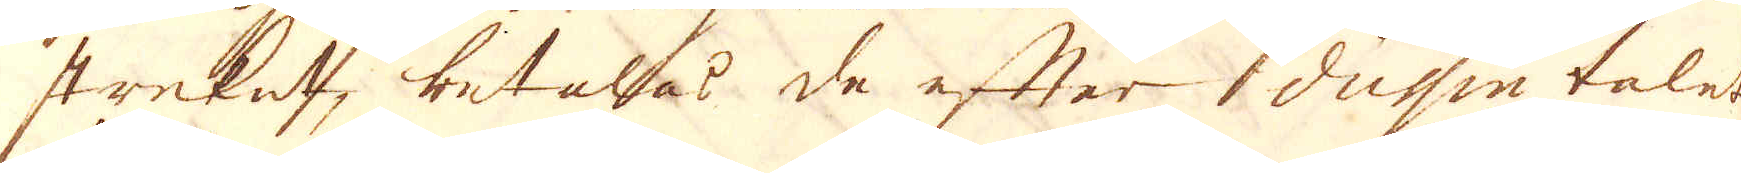streket, betalas de efter dussin talet
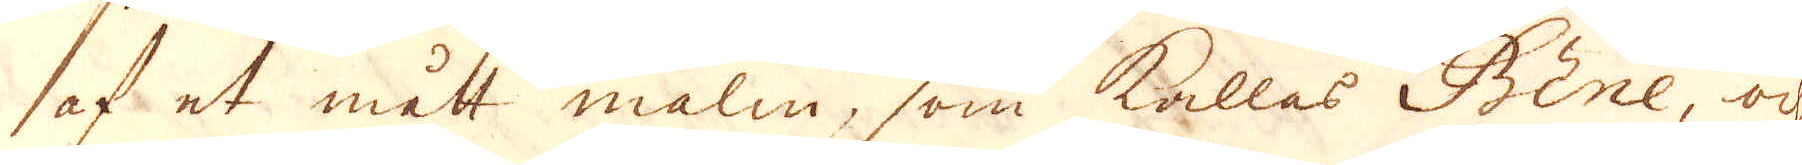af et mått malm, som kallas Bine, och
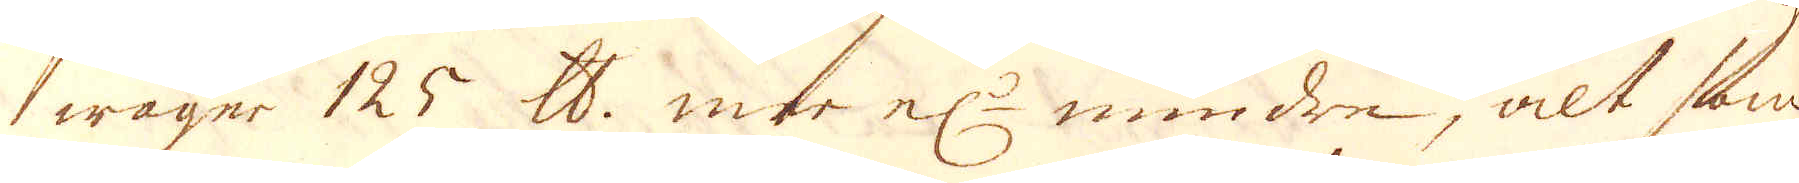wäger 125 skålpund mer el:r mindre, alt som
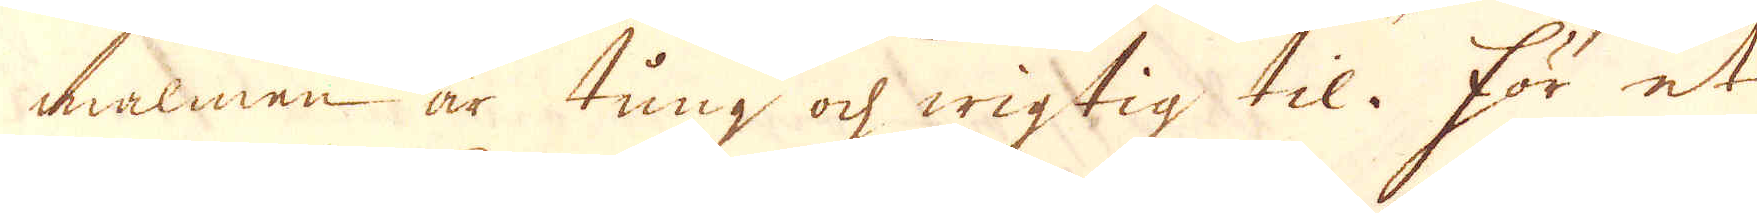malmen är tung och wigtig til. För et
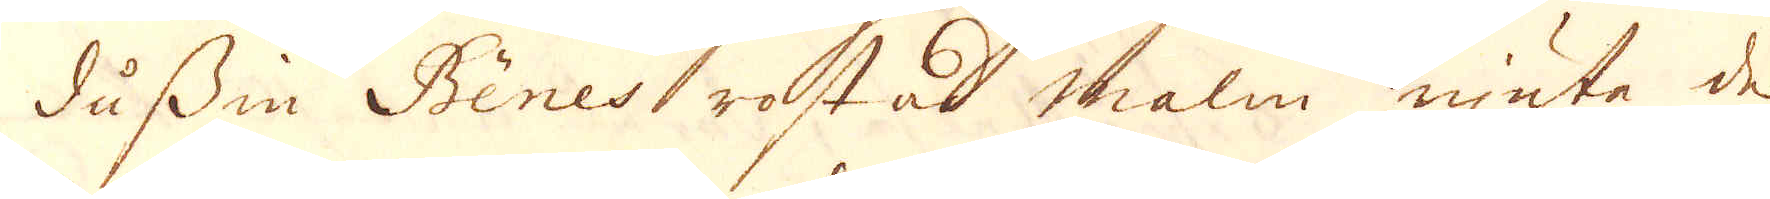dussin Bines rostad malm njuta de
